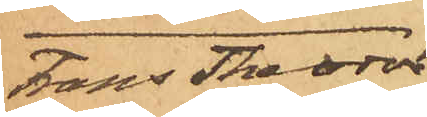Frans Theodor
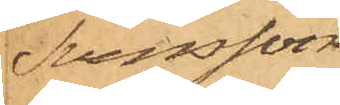Svensson
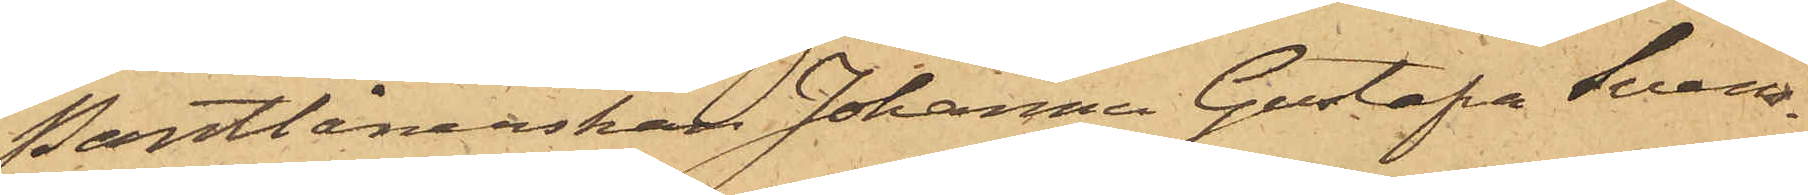Pantlånerskan Johanna Gustafa Svens¬
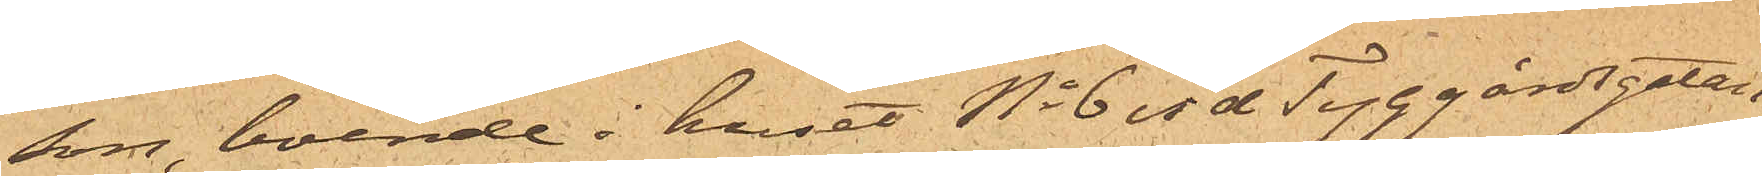son, boende i huset No 6 vid Tyggårdsgatan,
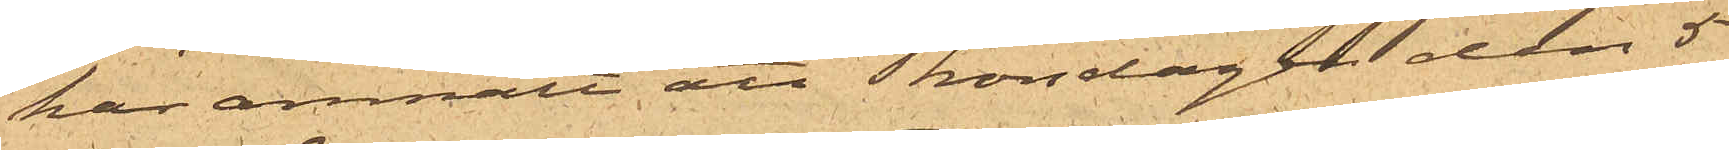har anmält att Thorsdagen den 5
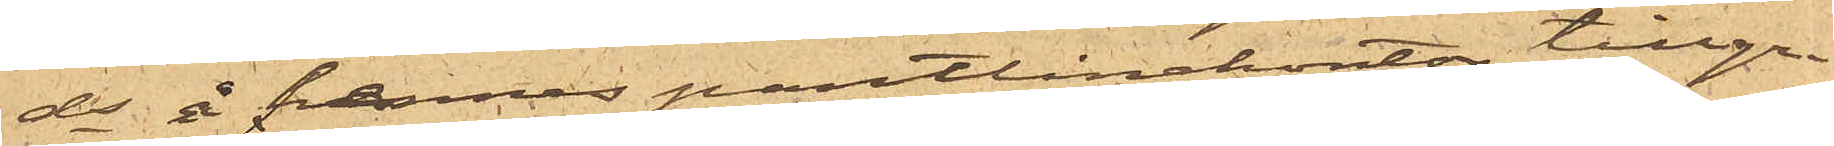ds å hennes pantlånekontor tillgri¬
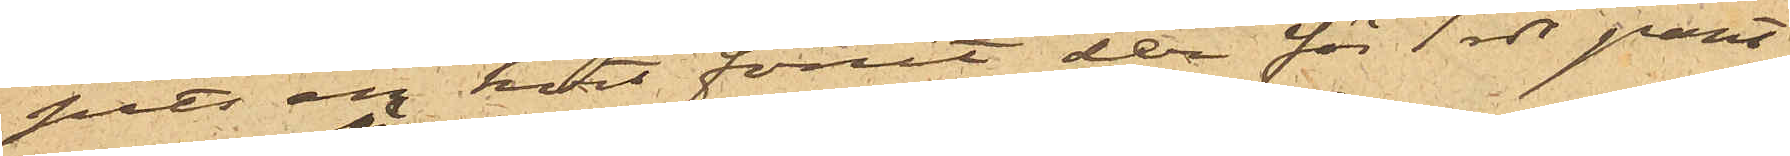pits en kort förut der för 1 rdr pant¬
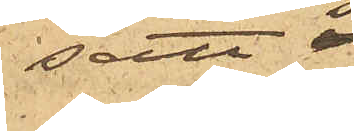satt 
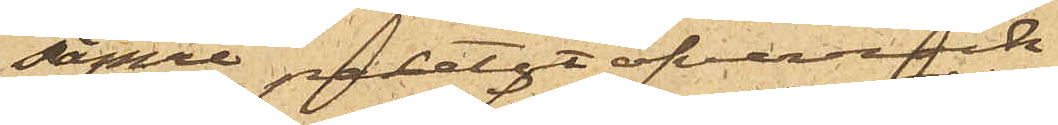sämre pantsatt öfverrock.
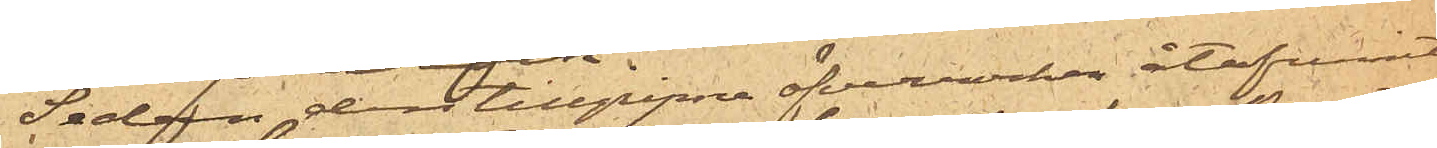 Sedan den tillgripne öfverrocken återfunnit
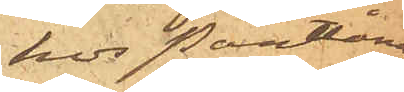hos Pantlåna¬
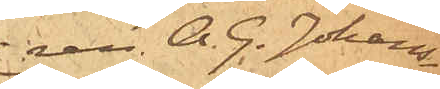ren. A. G. Johans¬
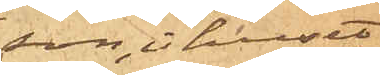son, i huset
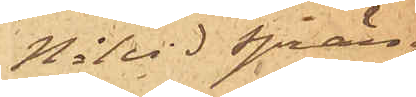No 1 vid Spräng¬
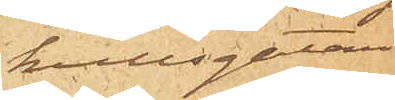kullsgatan.
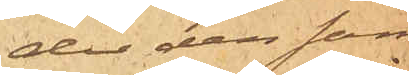der den sam¬
